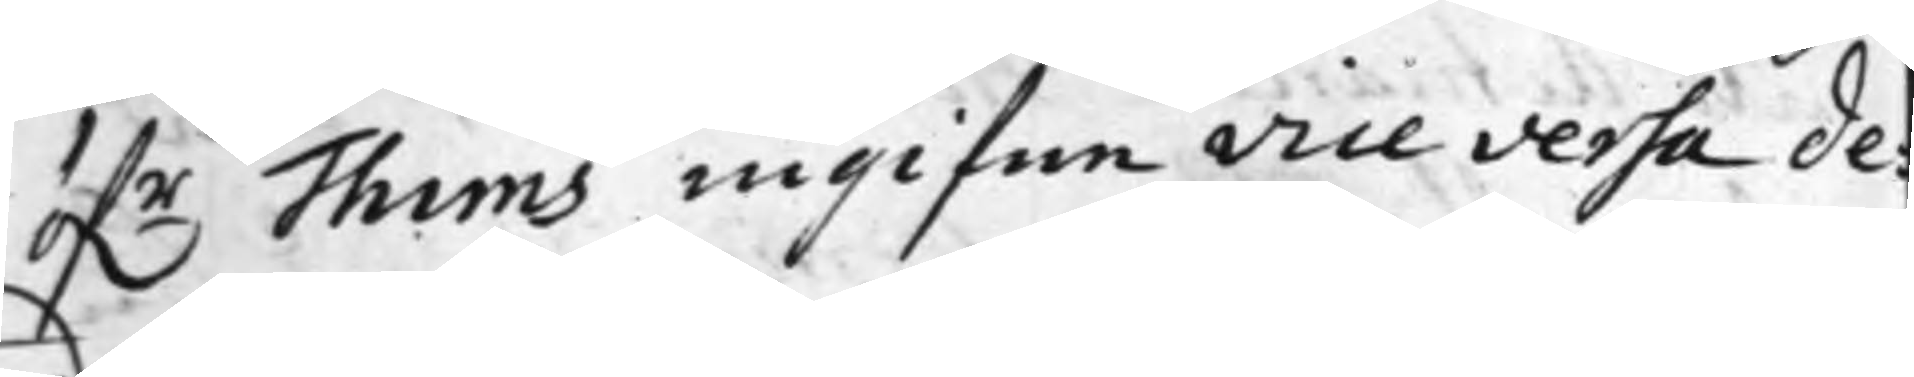öf.r Thims ingifne vice versa de¬
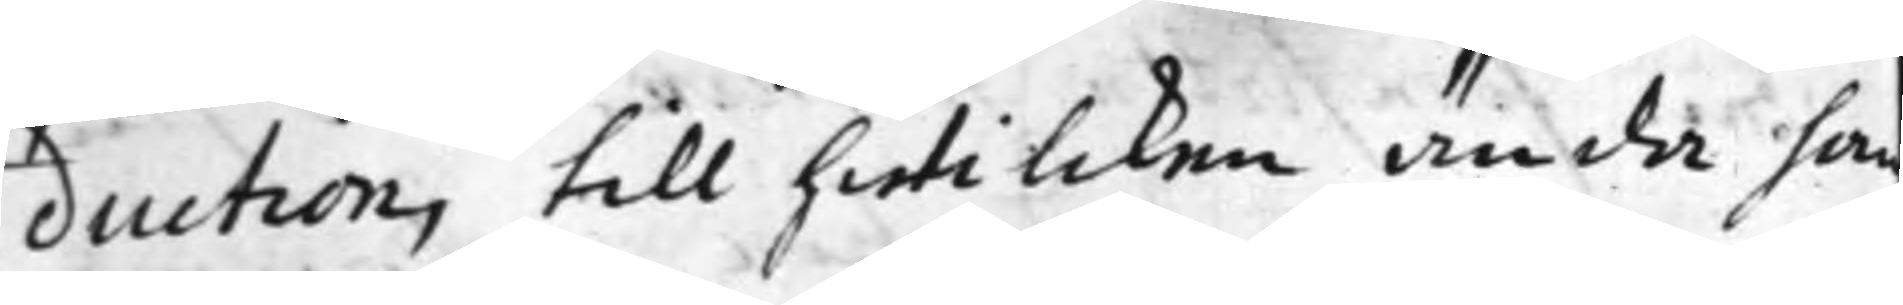duction, till hwilcken ända han
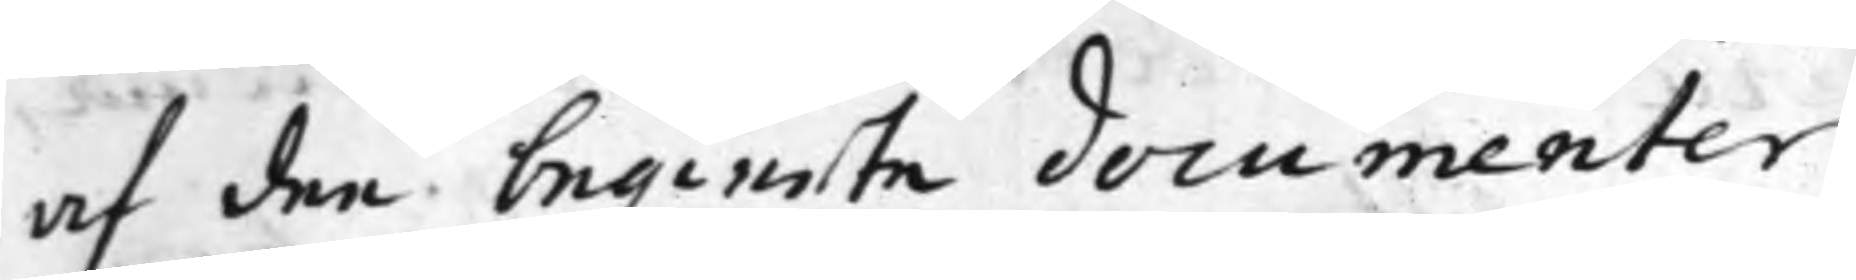af dee begierte documenter
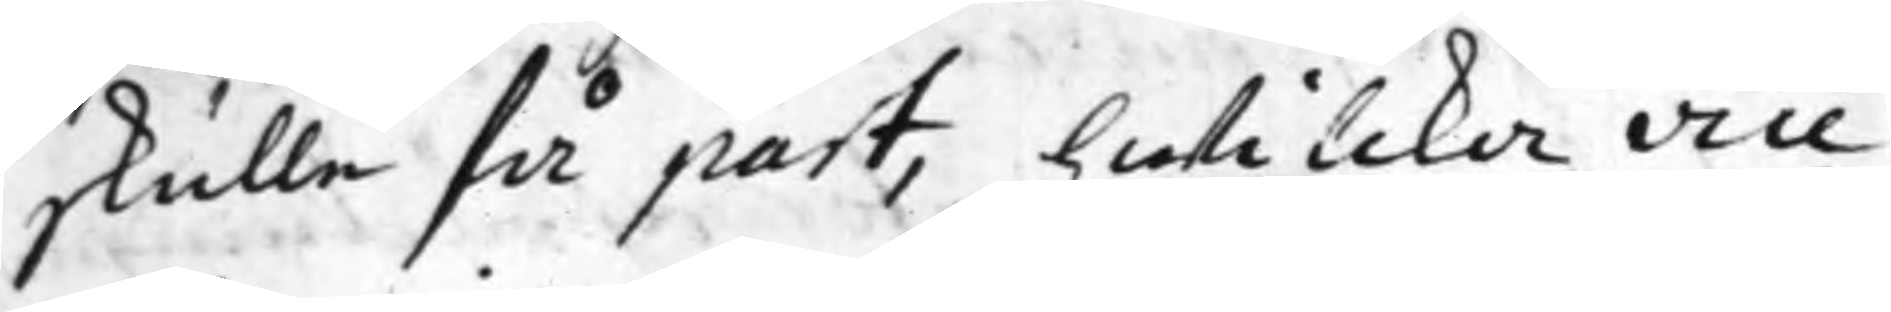skulle få part, hwilcka vice
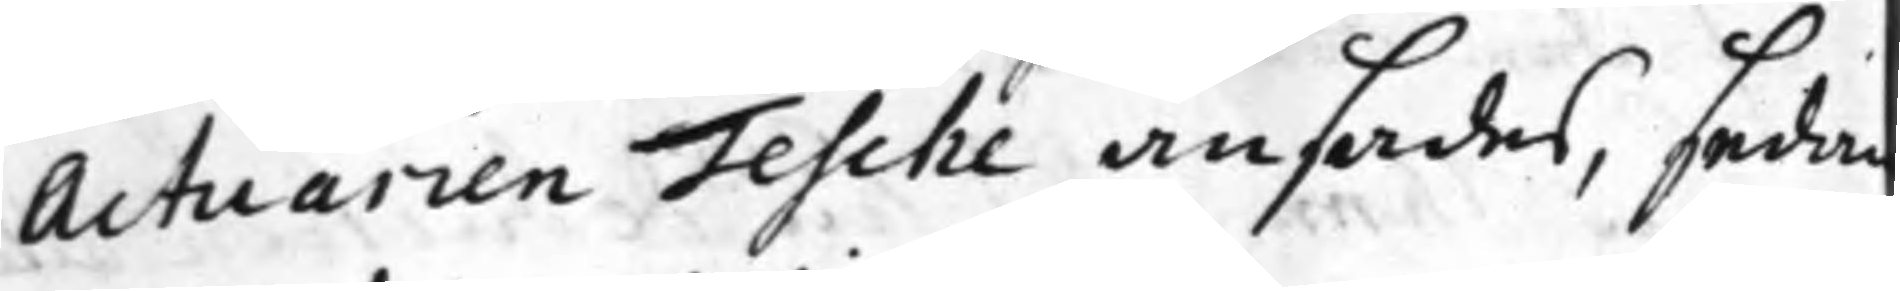Actuarien Tesche ansades, sedan
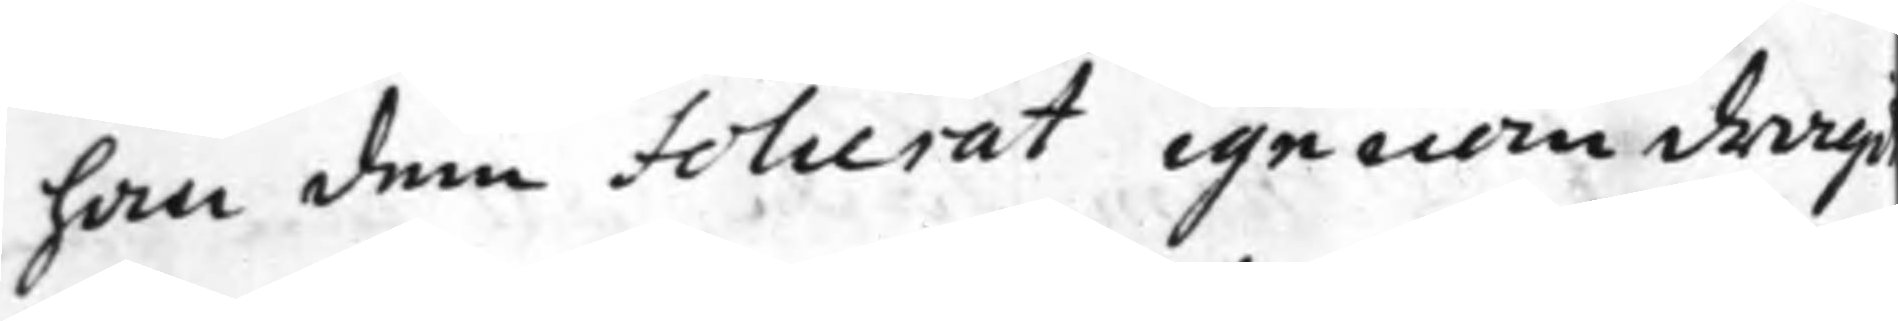han dem Folierat igenom dragi
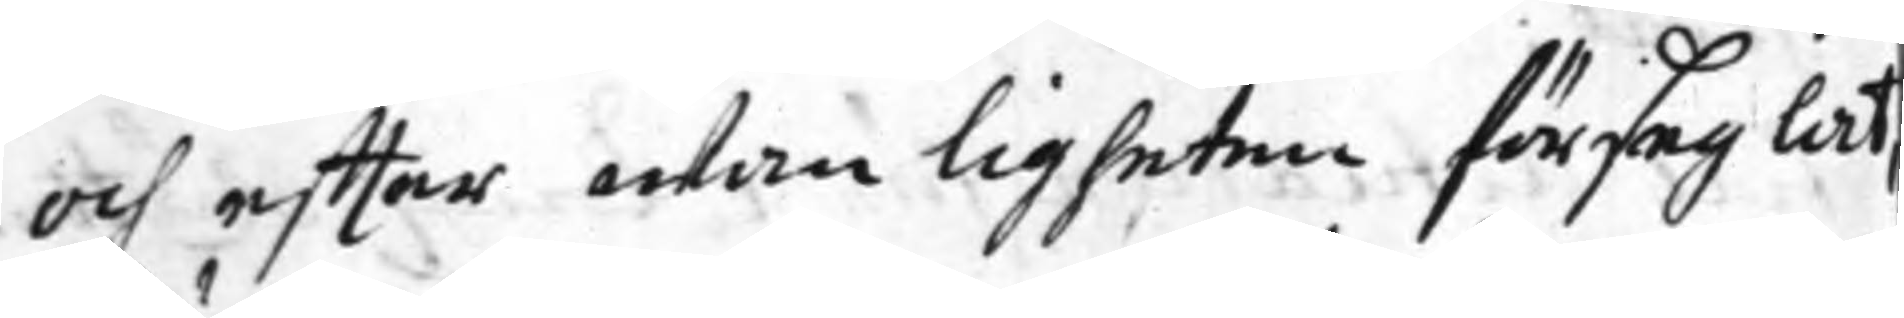och effter wanligheten förseglat,
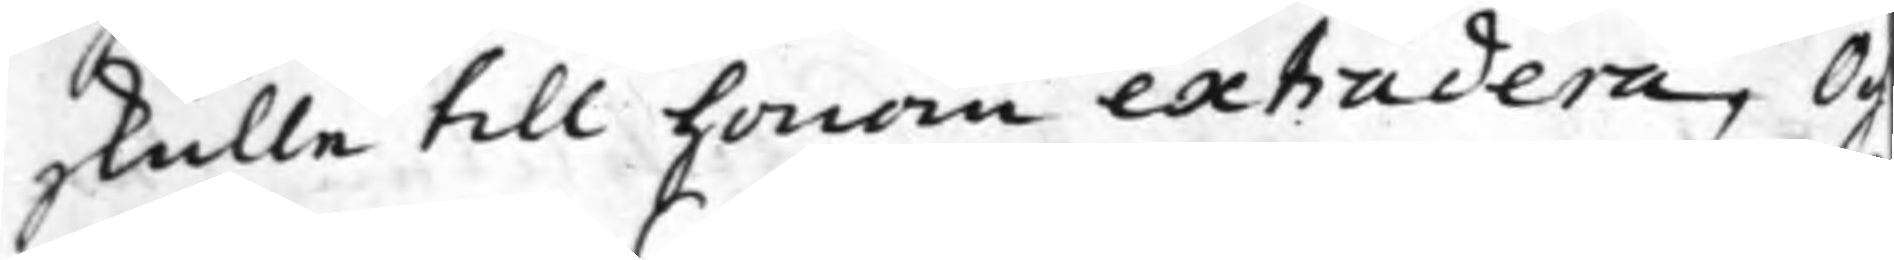skulle till honom extradera, Och
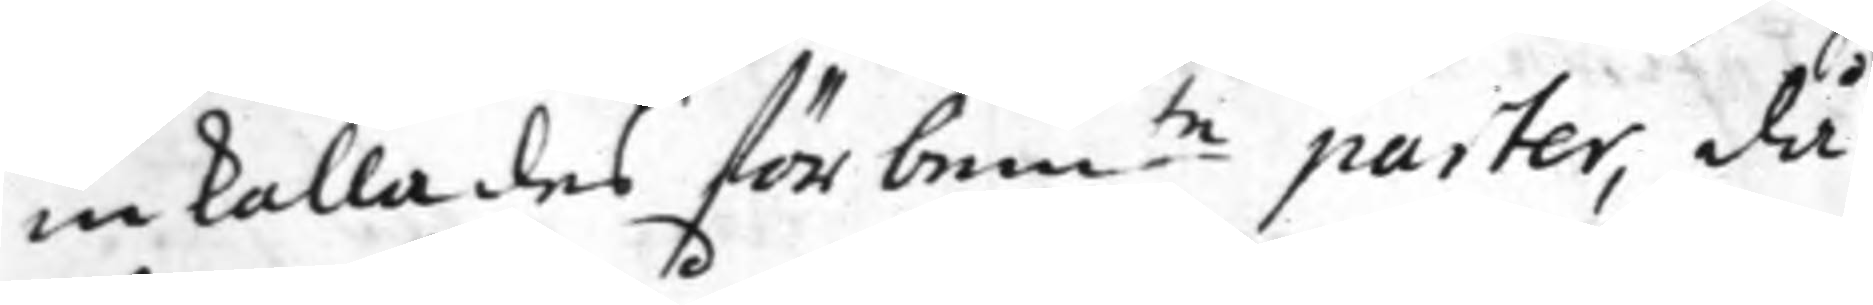inkallades förbem.te parter, då
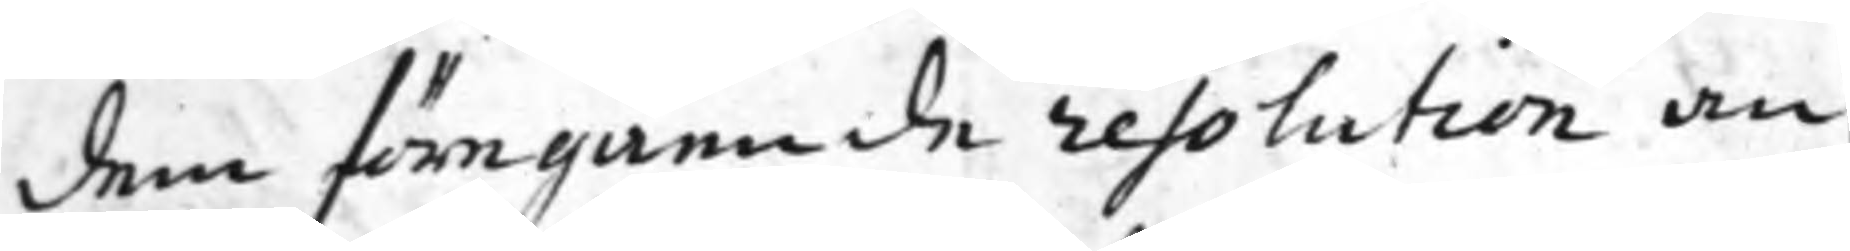dem föregående resolution an¬
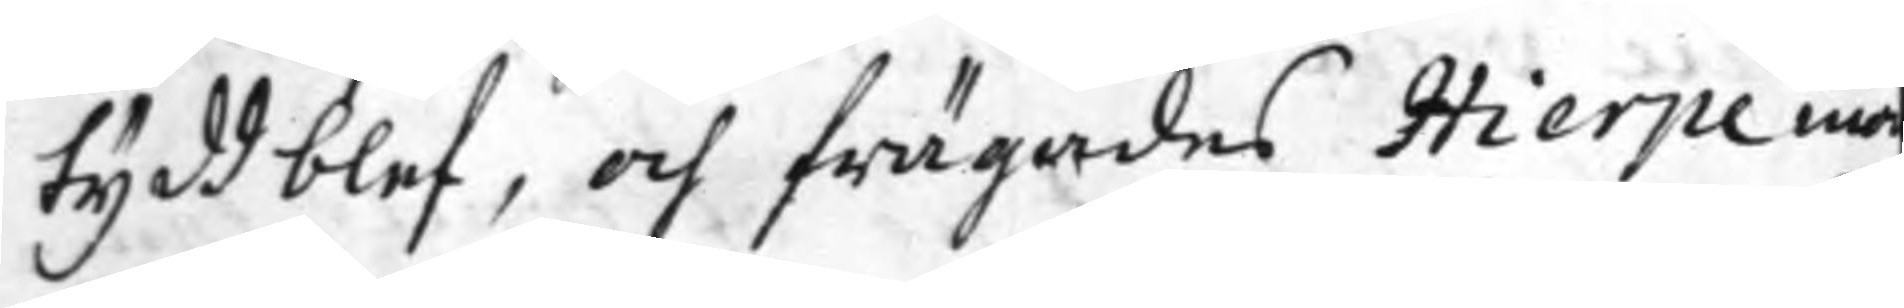tydd blev, och frägades Hierpe ino
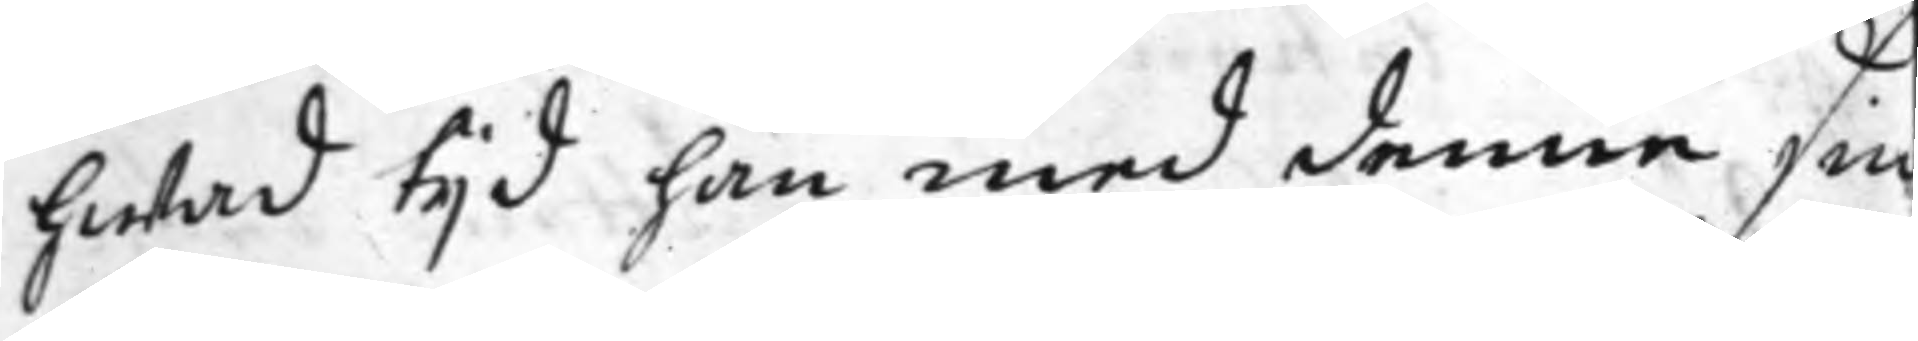hwad tijd han med denne sin
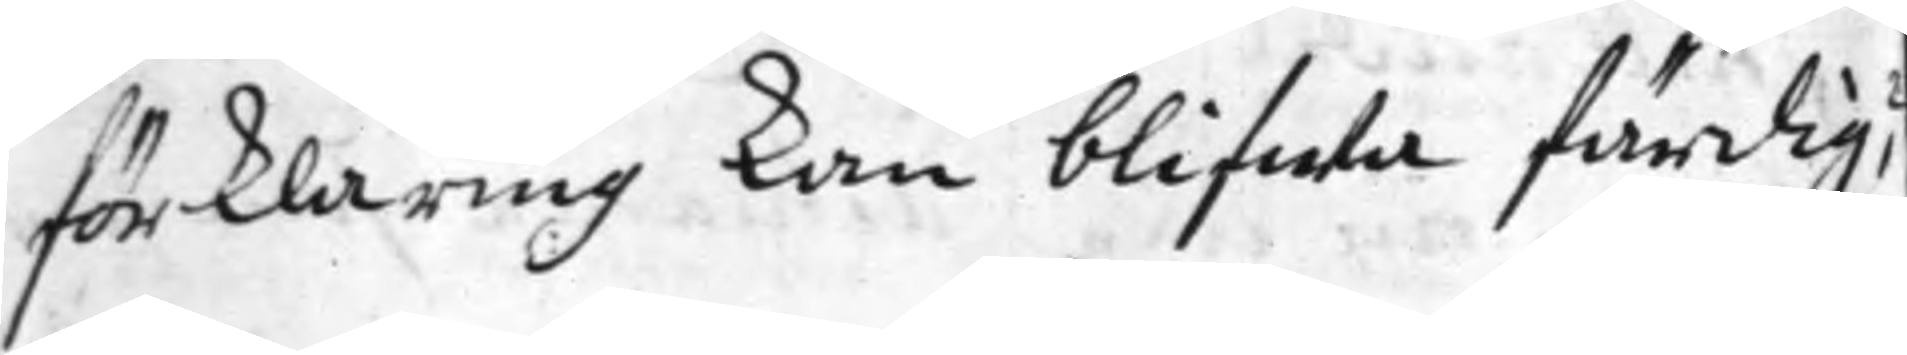förklaring kan blifwa färdig?
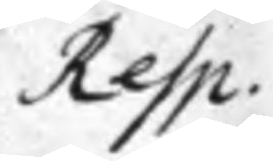Resp.
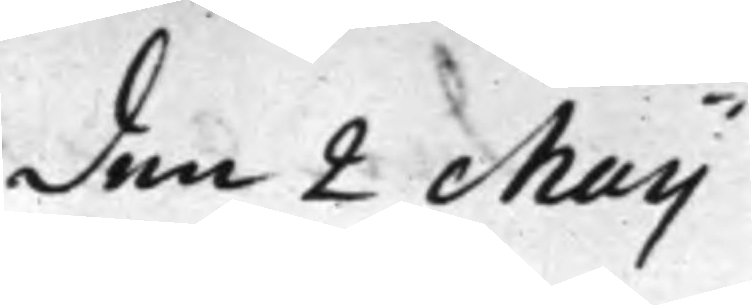den 2 Maij
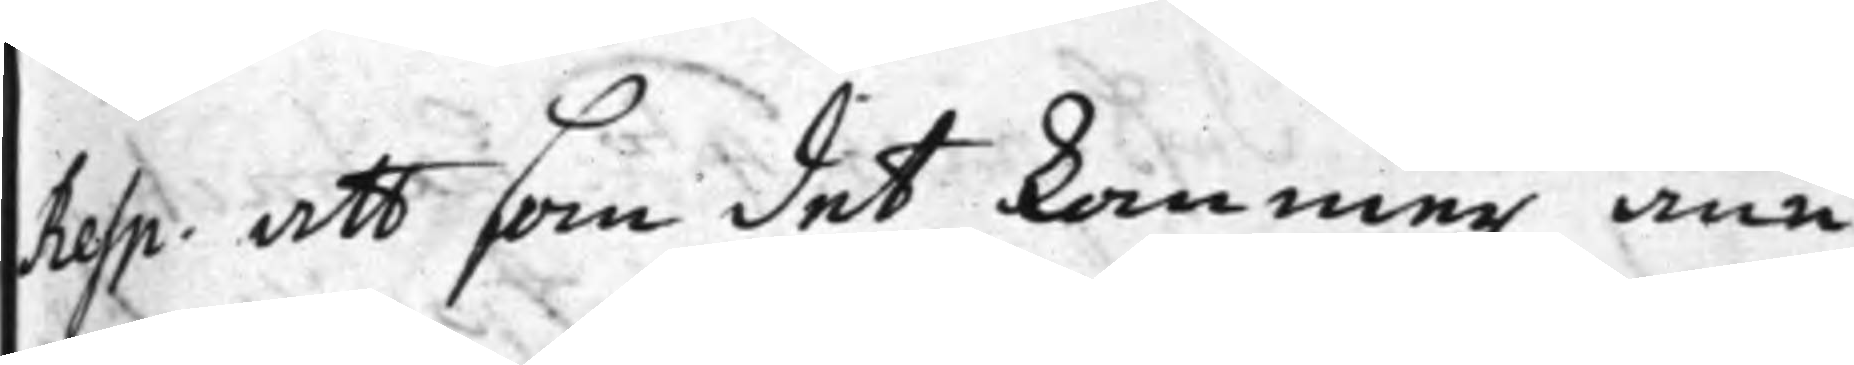Resp. att som det kommer ann
